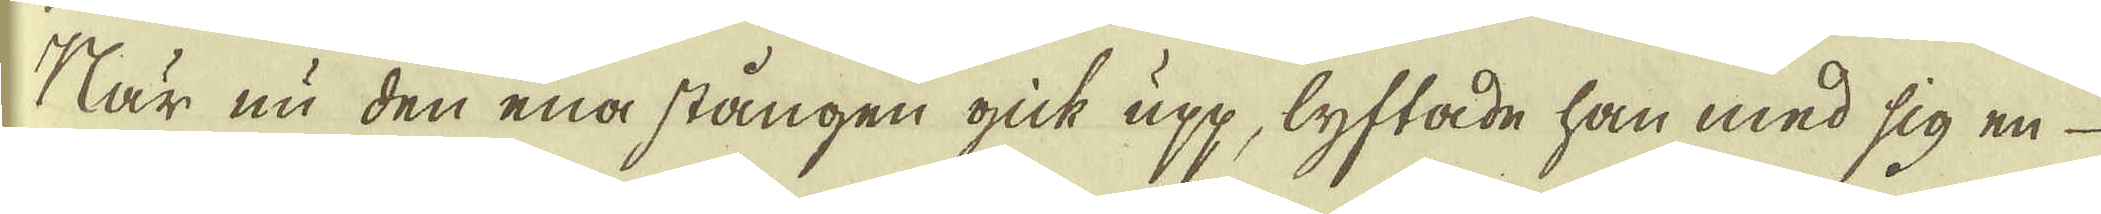När nu den ena stången gick upp, lyftade han med sig en
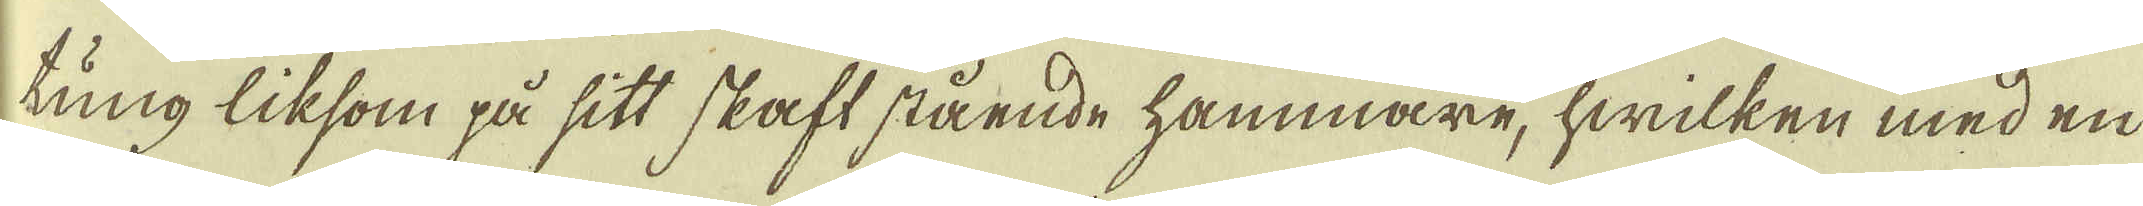tung liksom på sitt skaft stående hammare, hwilken med en
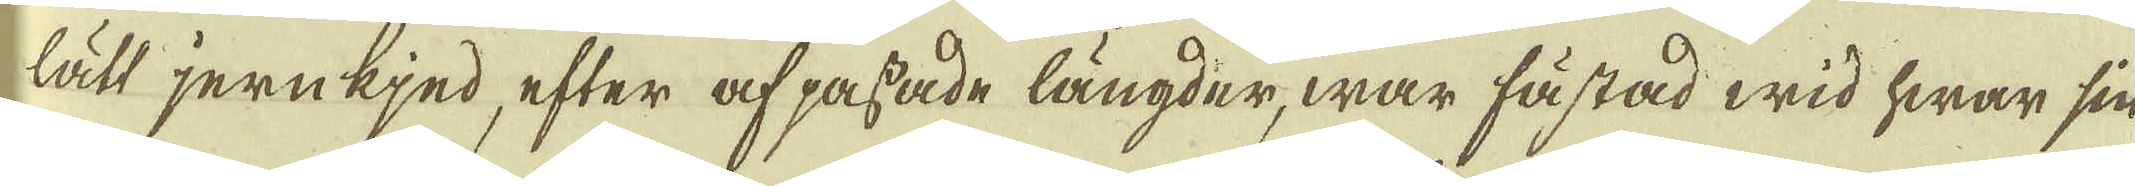lätt jernkjed, efter af passade längder, war fästad wid hwar sin
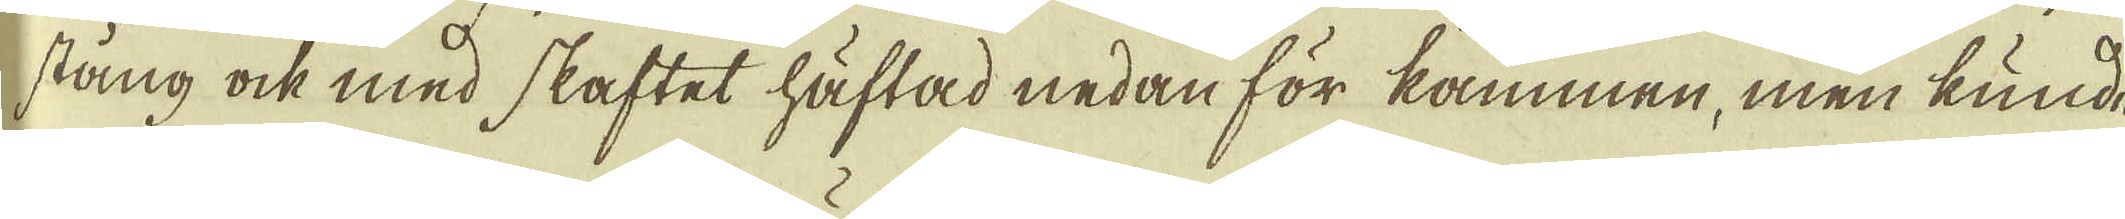stång ock med skaftet häftad nedan för kammen, men kunde
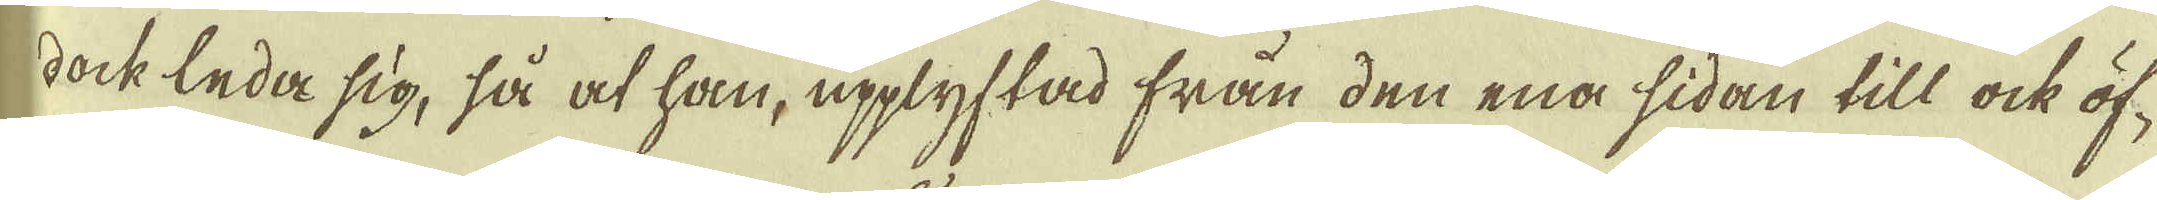dock leda sig, så at han, upplyftad från den ena sidan till ock öf-
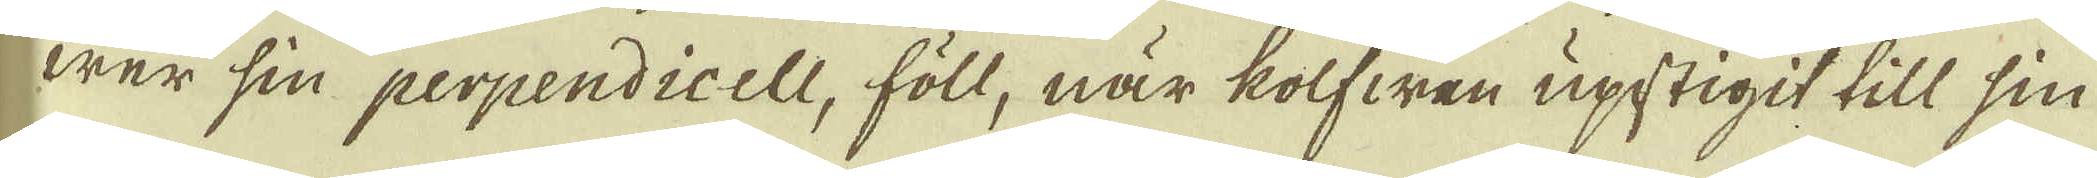wer sin perpendicell, föll, när kolfwen upstigit till sin
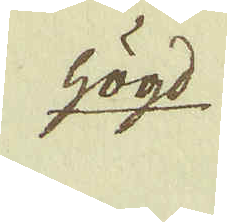högd
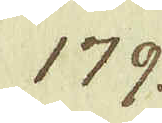179.
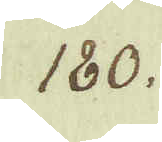180.
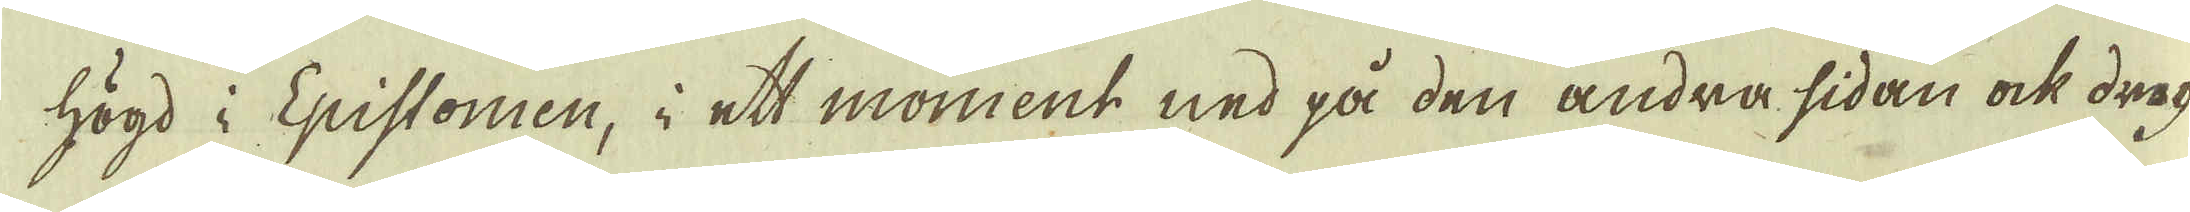högd i Epistomen, i ett moment ned på den andra sidan ock drog
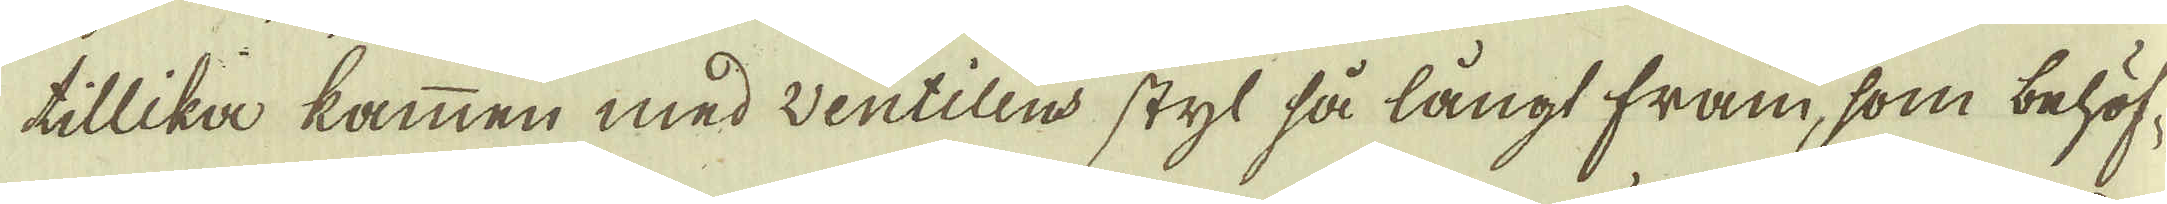tillika kammen med ventilens styl så långt fram, som behöf-
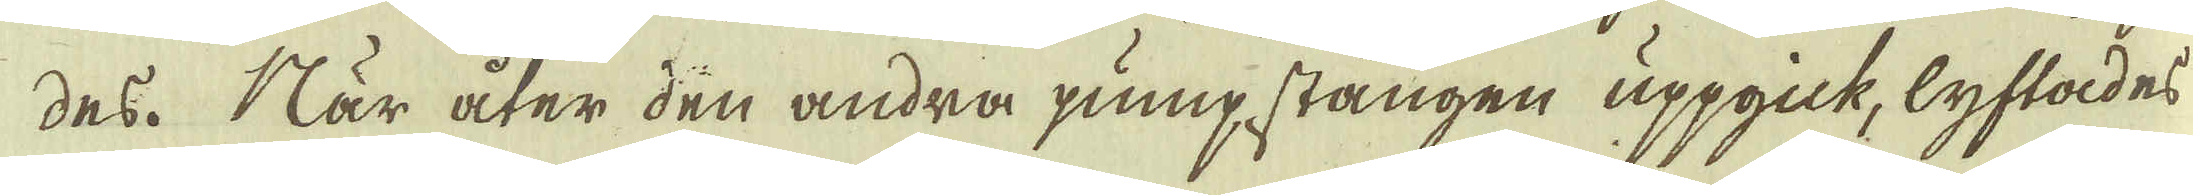des. När åter den andra pumpstången uppgick, lyftades
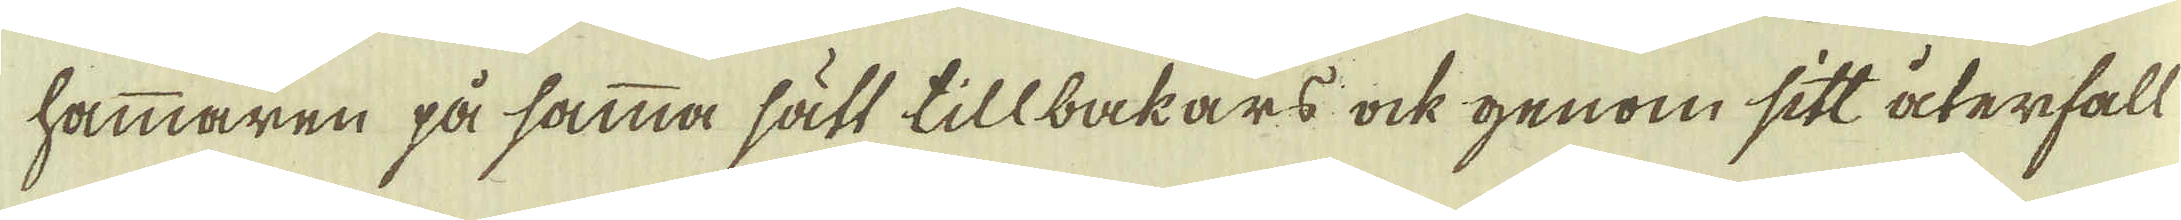hammaren på samma sätt tillbakars ock genom sitt återfall
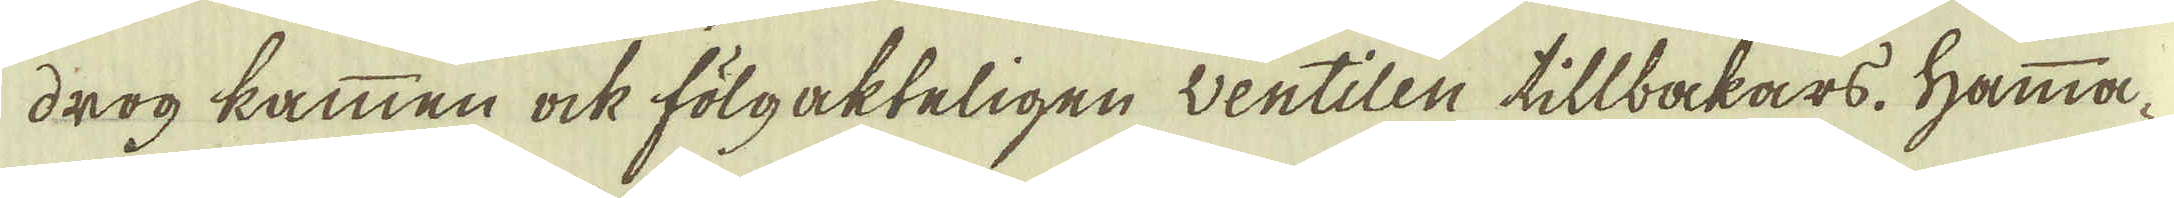drog kammen ock fölgakteligen wentilen tillbakars. Hamma-
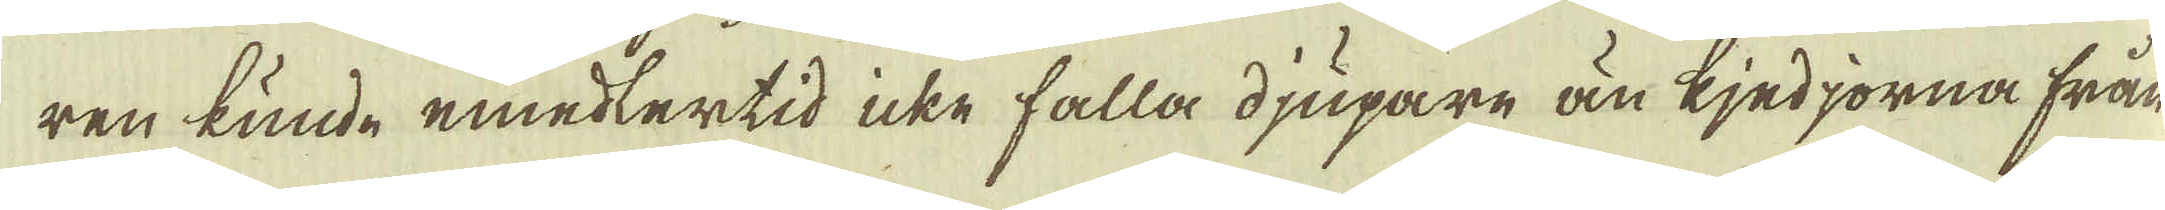ren kunde emedlertid icke falla djupare än kjedjorna från
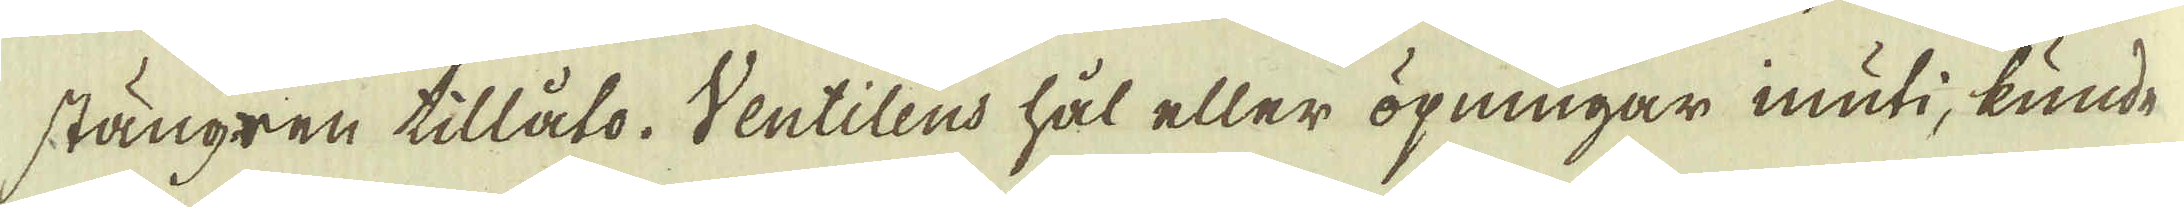stängren tillåto. Ventilens hål eller öpningar inuti, kunde
